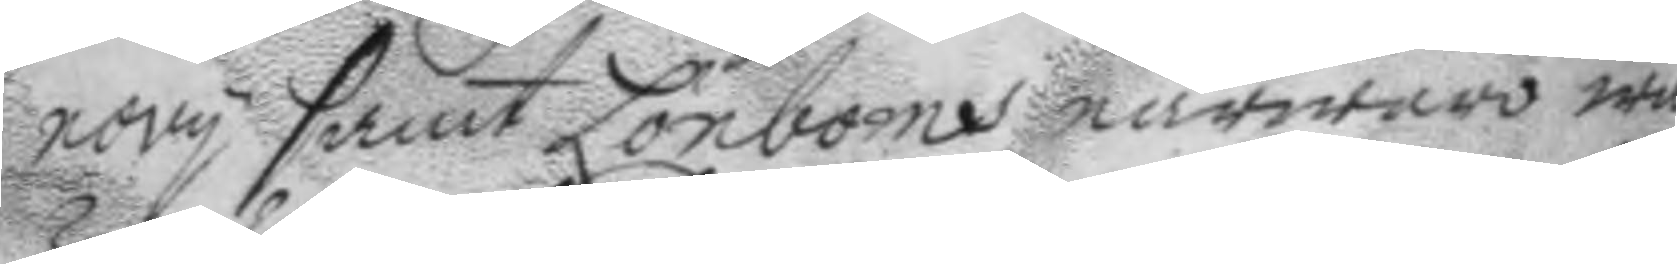novy samt Lönboms närwaro war
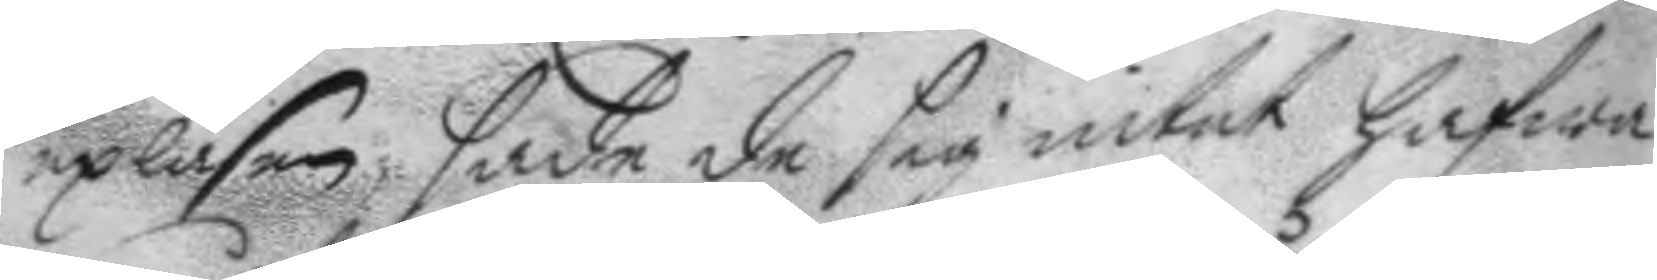upläsen sade de sig intet hafwa
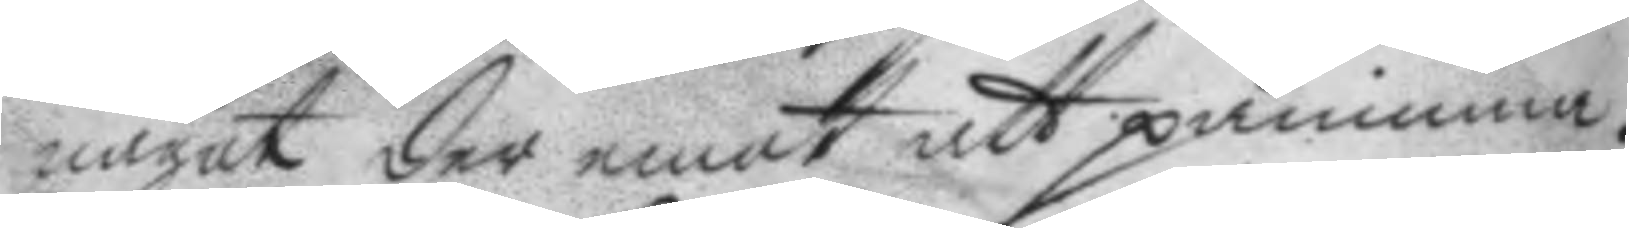något der emot att påminna.
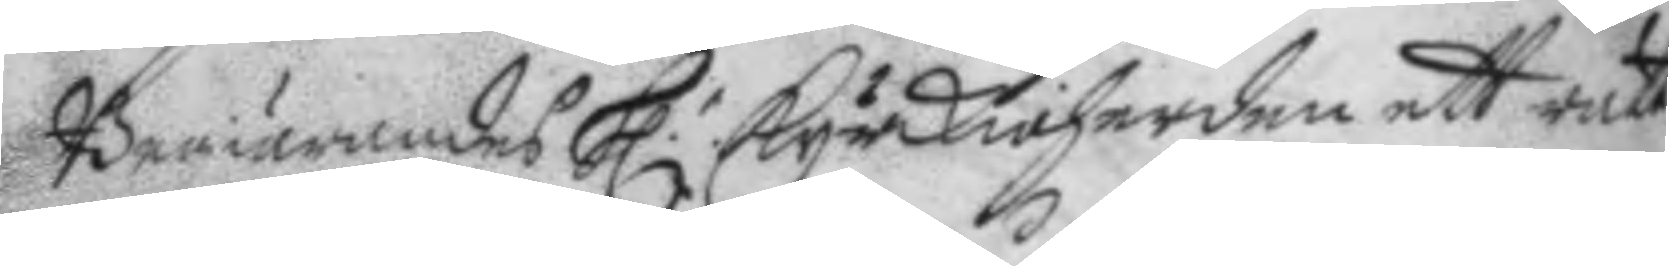Begiärandes h.r kyrkioherden ett rätt¬
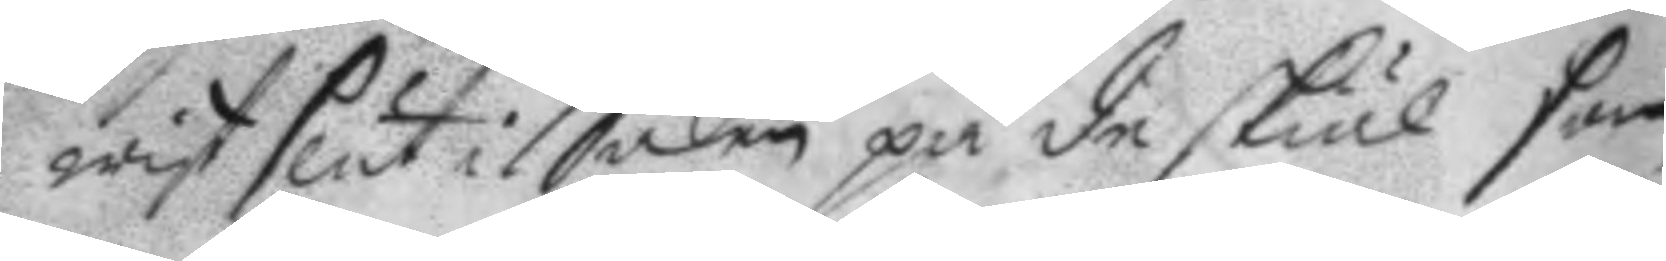wist slut i Saken på de skiäl som
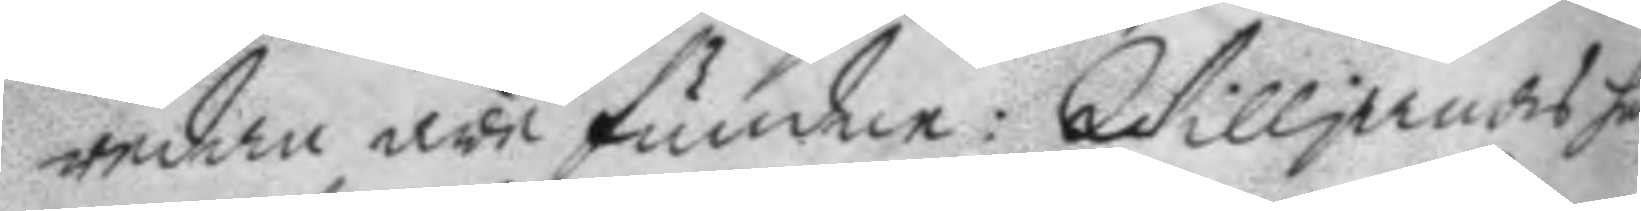redan äre fundne: Willjandes han
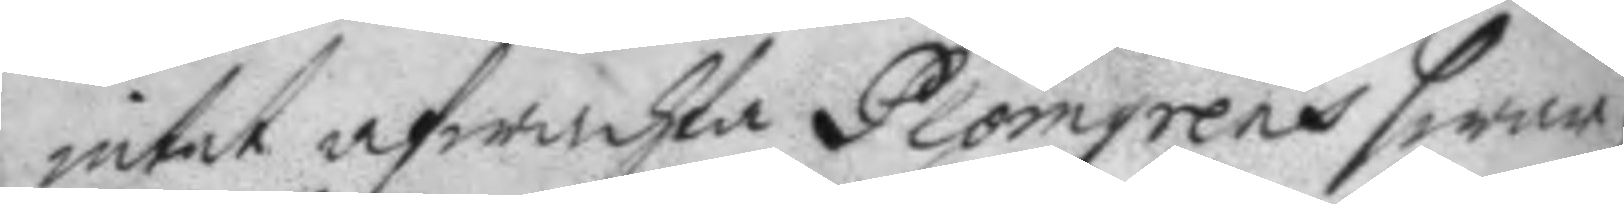intet wfwachta Plomgrens swar på
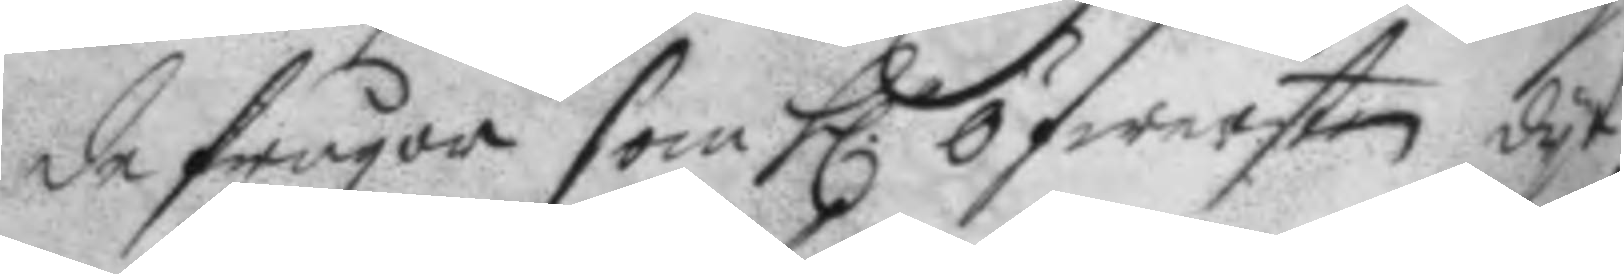de frågor som h.r öfwersten dyt
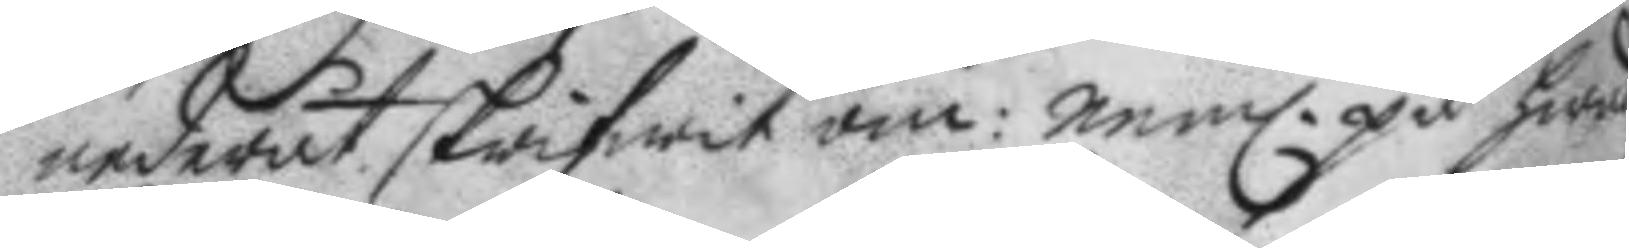nederut skrifwit om: neml. på hwad
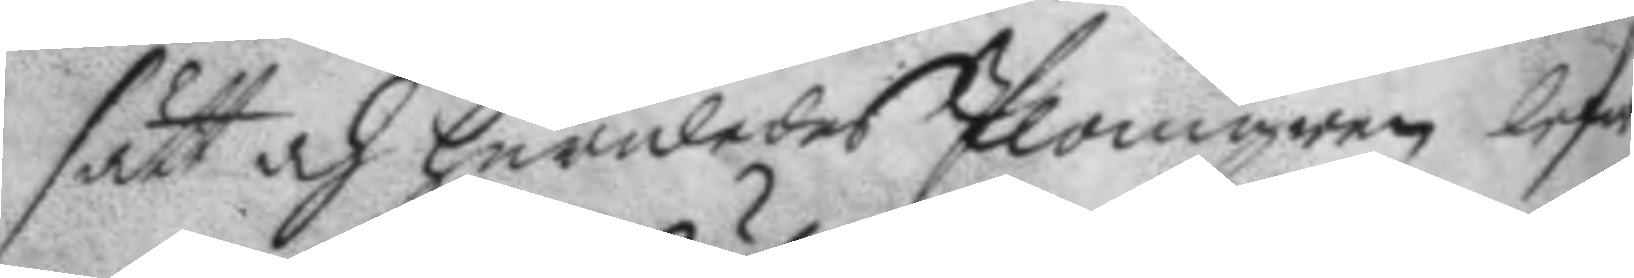sätt och huruledes Plomgren lefwe¬
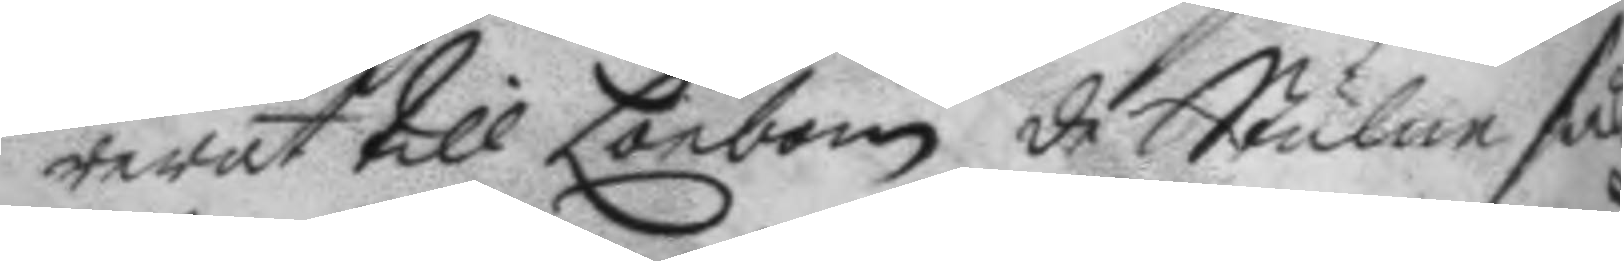rerat till Lönbom de Stulne sak
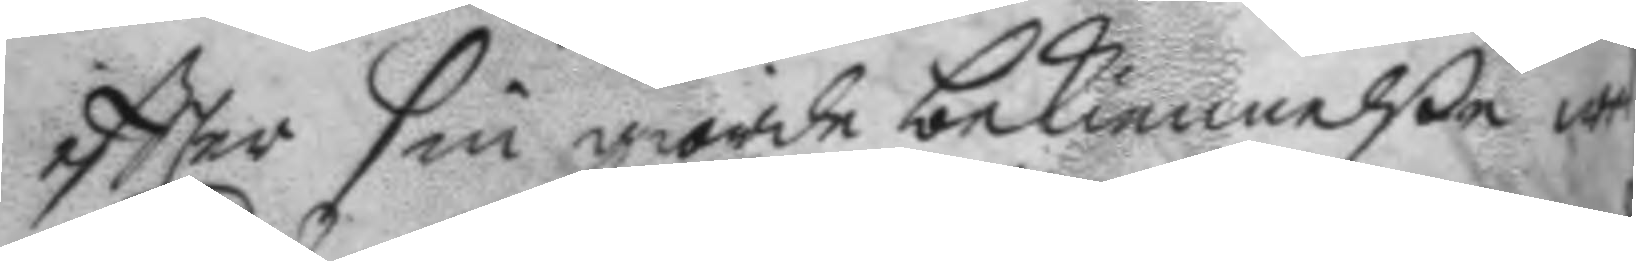eftter sin giorde bekiennelße wed
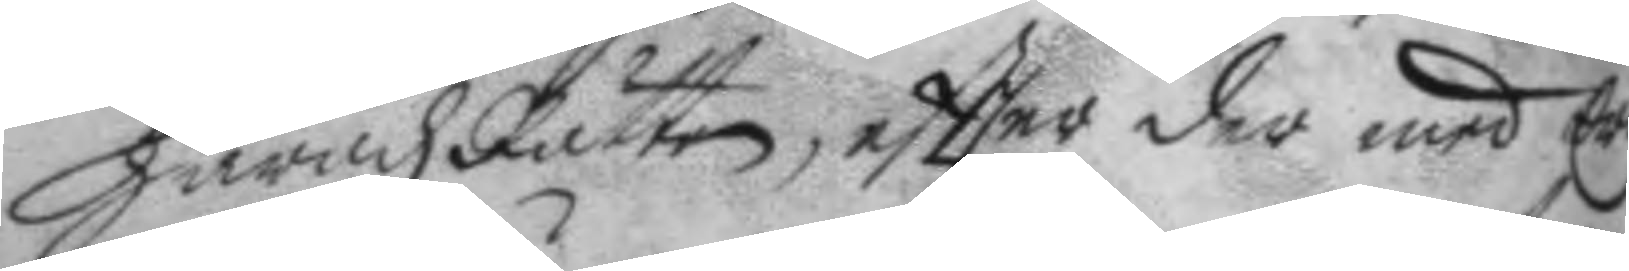häradz Rätten, eftter der med Er
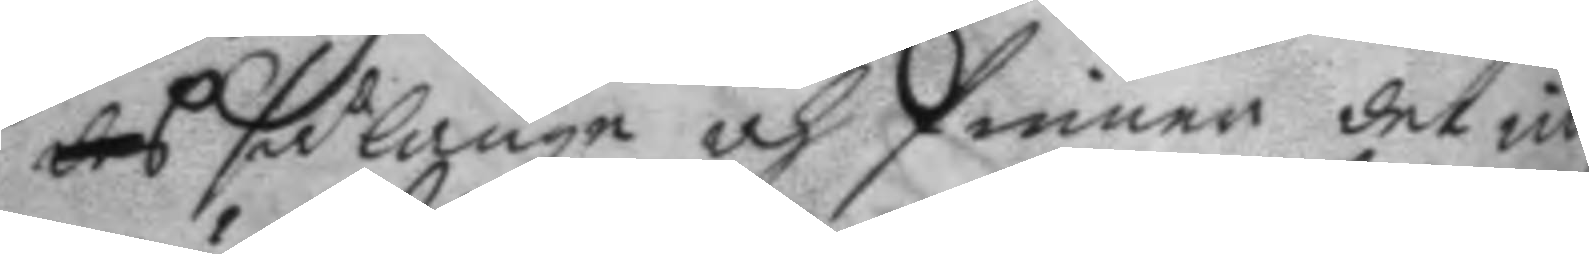des så länge och finner det intet
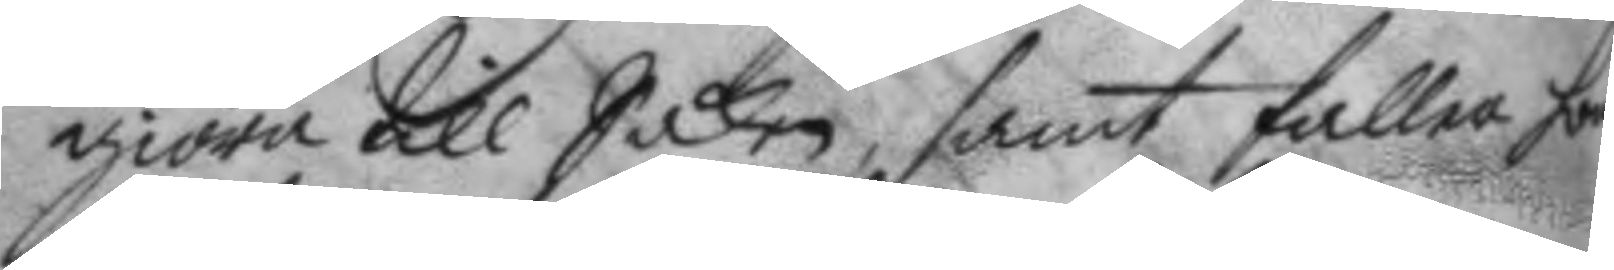giöra till Saken, samt faller honom
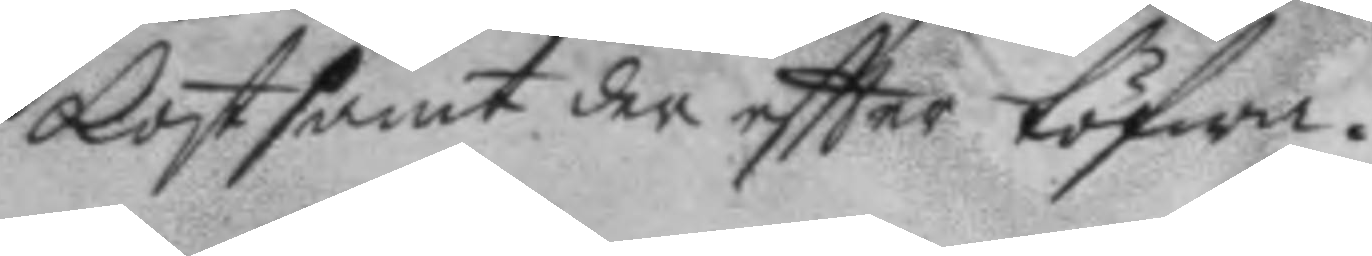kostsamt der eftter töfwa.
